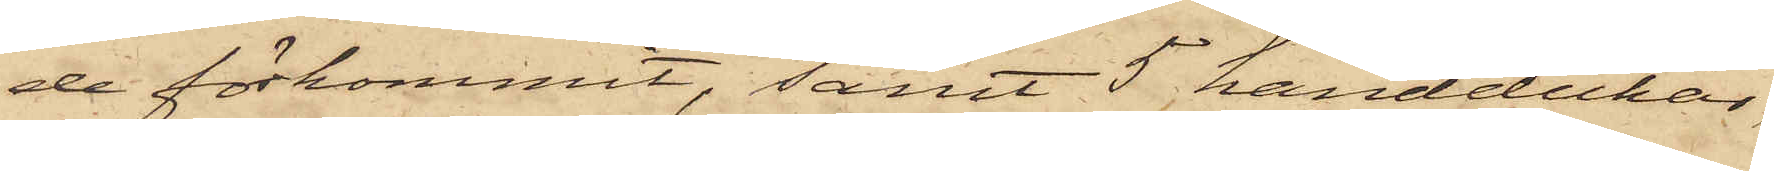de förkommit, samt 5 handdukar,
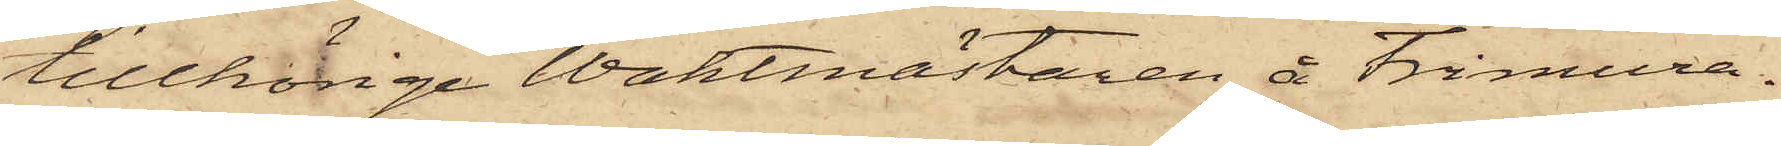tillhörige Waktmästaren å Frimura¬
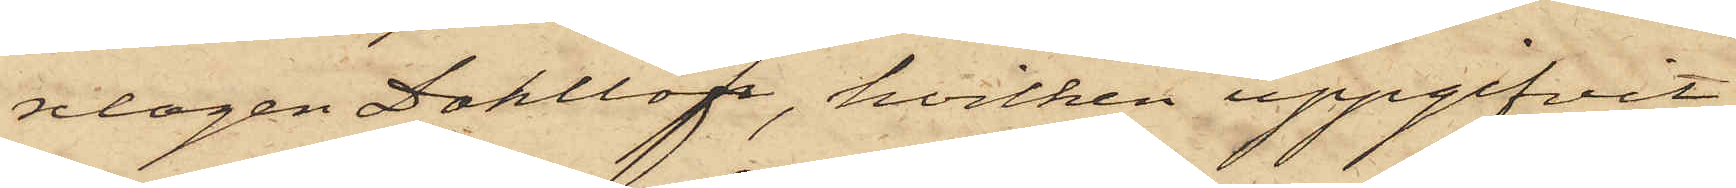ndagen Dahllöf, hvilken uppgifvit
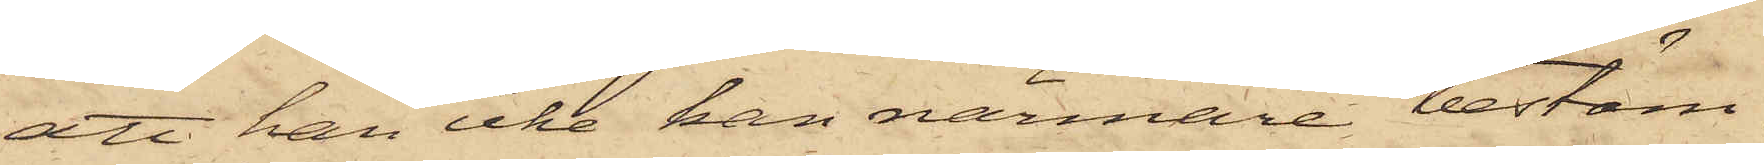att han icke kan närmare bestäm¬
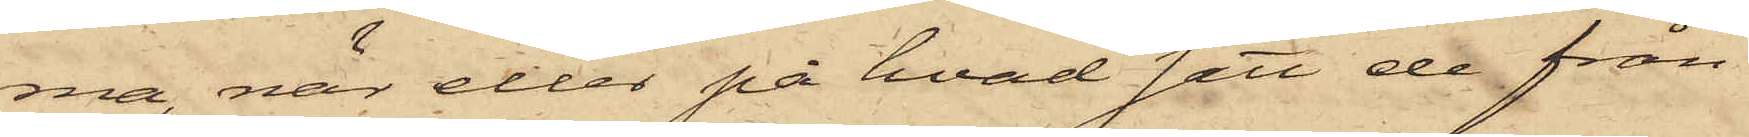ma, när eller på hvad sätt de från
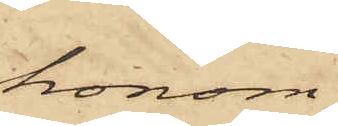honom
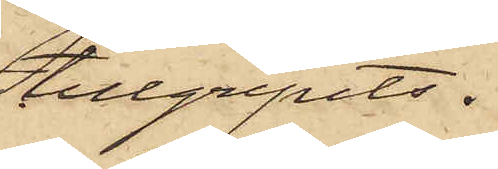tillgripits.
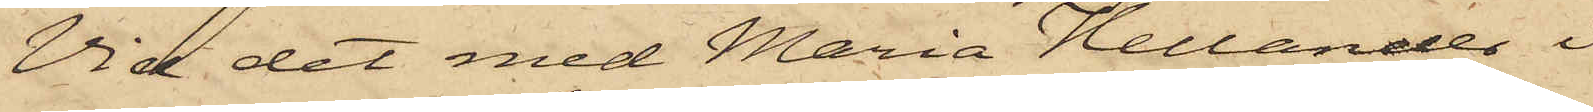Vid det med Maria Hellander i
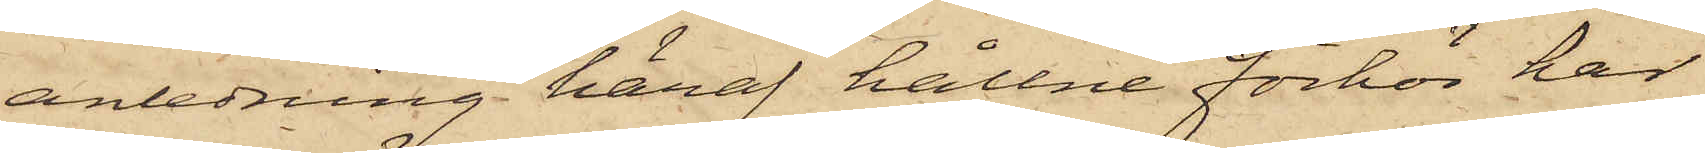anledning häraf hållne förhör har
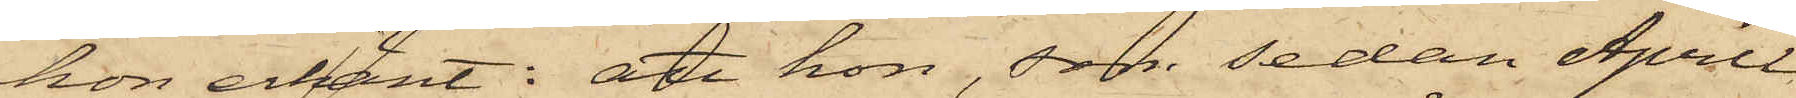hon erkänt: att hon, som sedan April
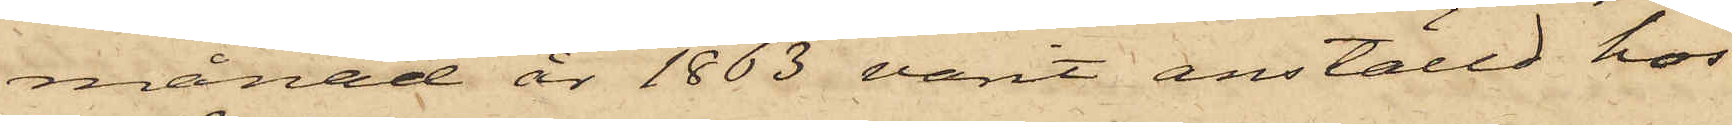månad år 1863 varit anställd hos
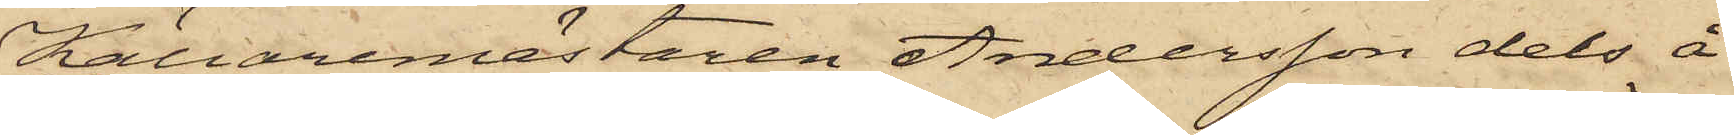Källaremästaren Andersson dels å
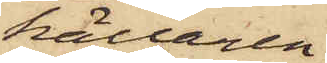källaren
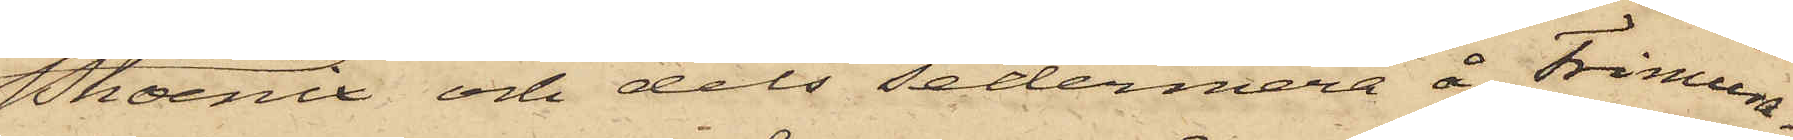Phoenix och dels sedermera å Frimura¬
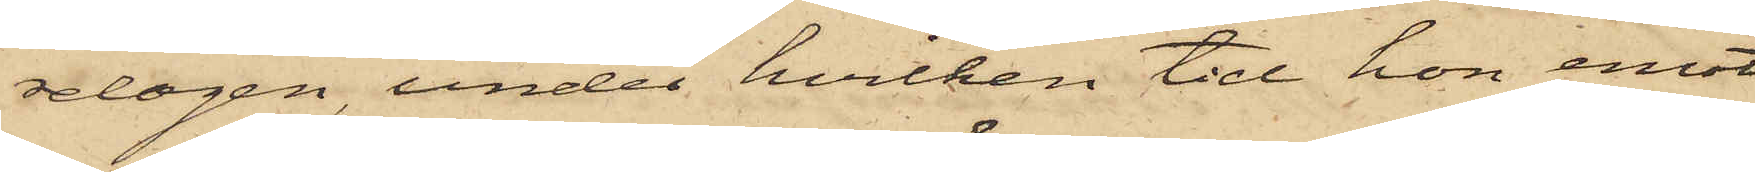relogen, under hvilken tid hon emot
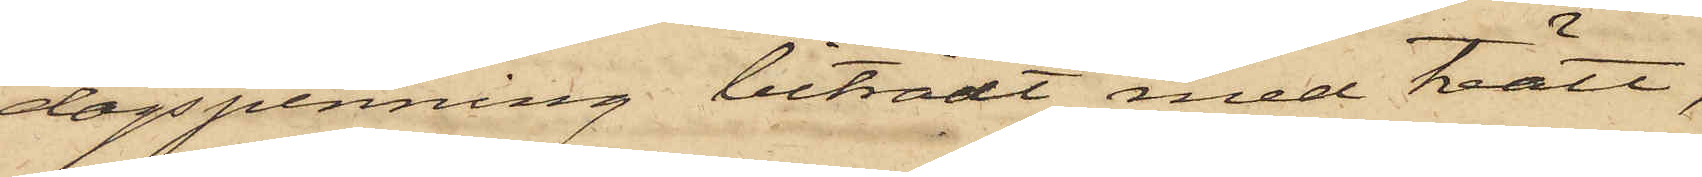dagspenning biträdt med tvätt,
